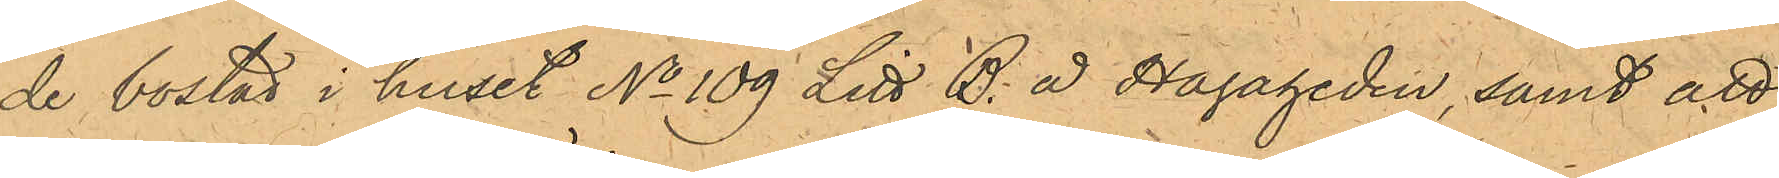de bostad i huset No 109 Litt B. å Hagaheden, samt att
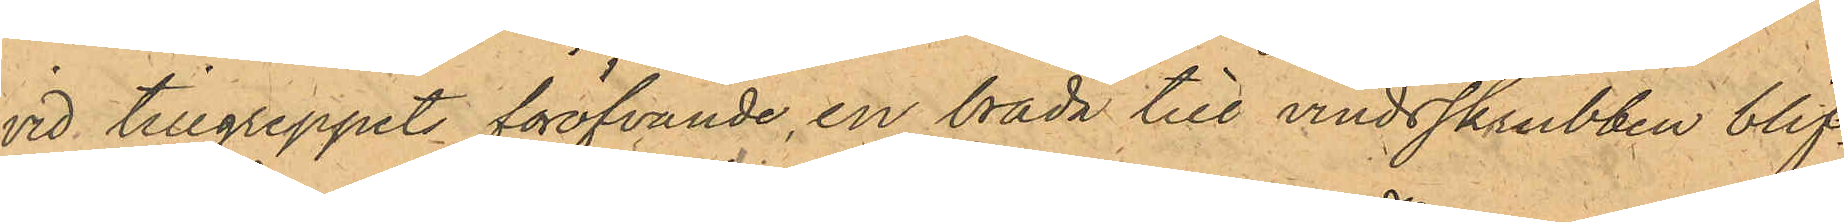vid tillgreppets föröfvande en bräda till vindsskrubben blif¬
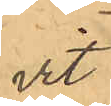vit
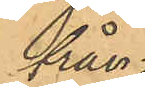från¬
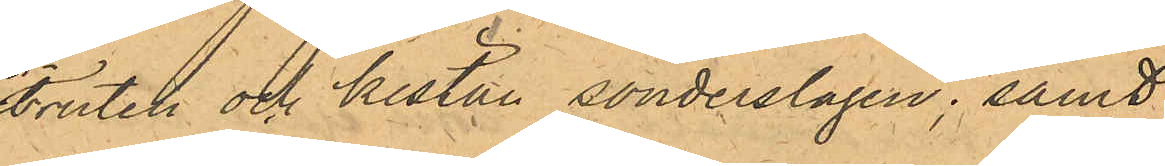bruten och kistan sönderslagen; samt
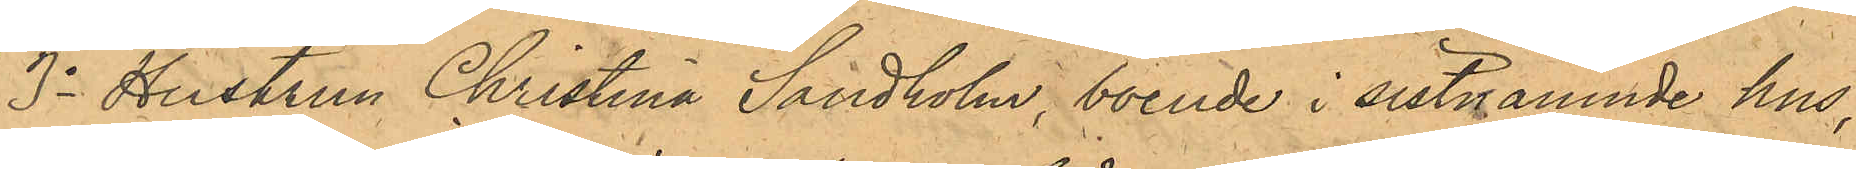3o Hustrun Christina Sandholm, boende i sistnämnde hus,
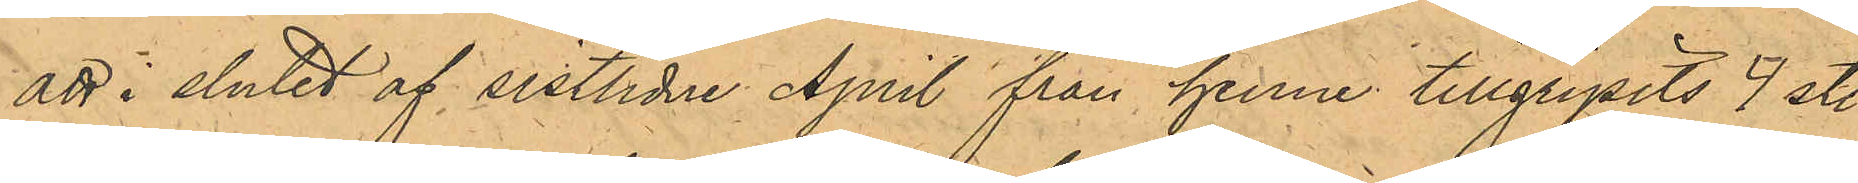att i slutet af sistlidne April från henne tillgripits 4 st.
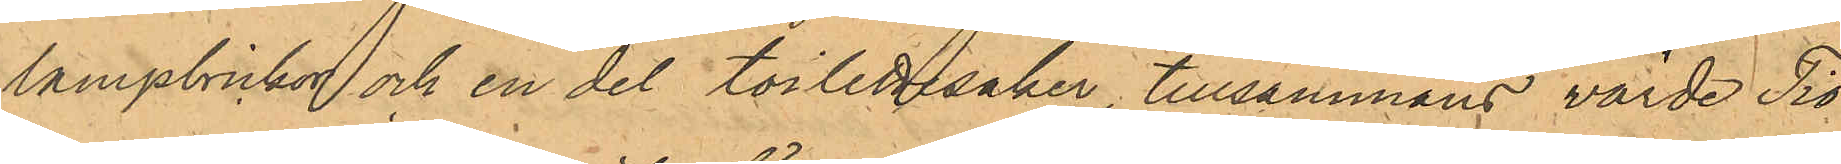lampbrickor och en del toilettesaker, tillsammans värde Tio
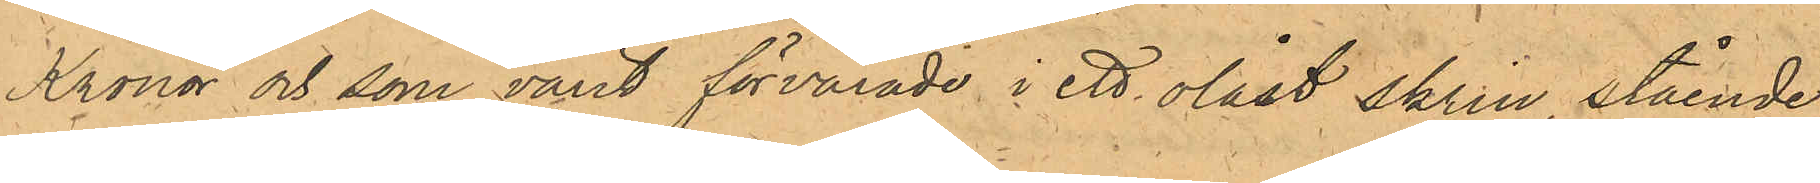Kronor och som varit förvarade i ett olåst skrin, stående
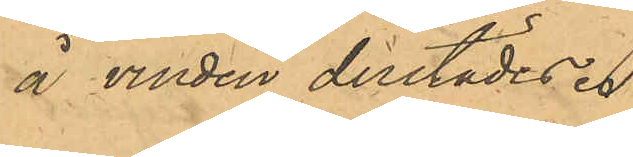å vinden derstädes .
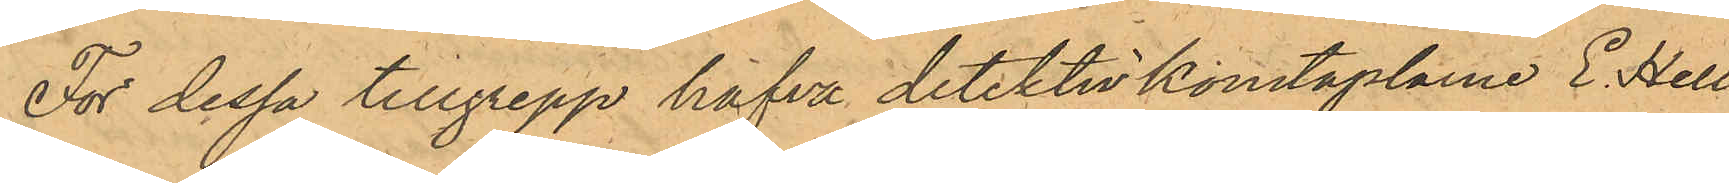För dessa tillgrepp hafva detektivkonstaplarne E. Hell¬
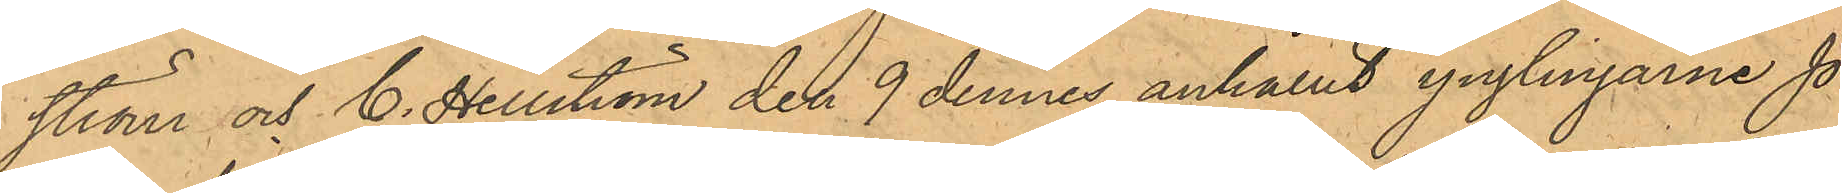ström och C. Hellström den 9 dennes anhållit ynglingarne Jo¬
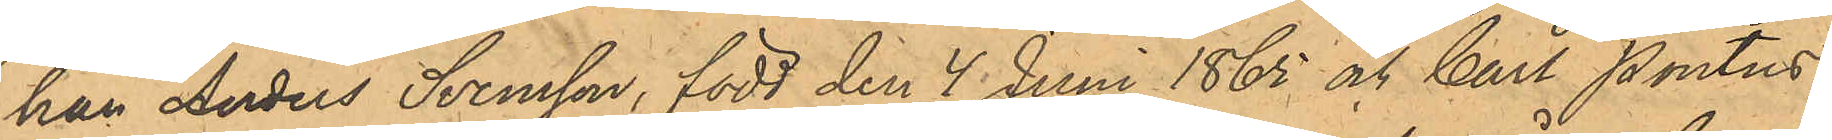han Anders Svensson, född den 4 Juni 1865 och Carl Pontus
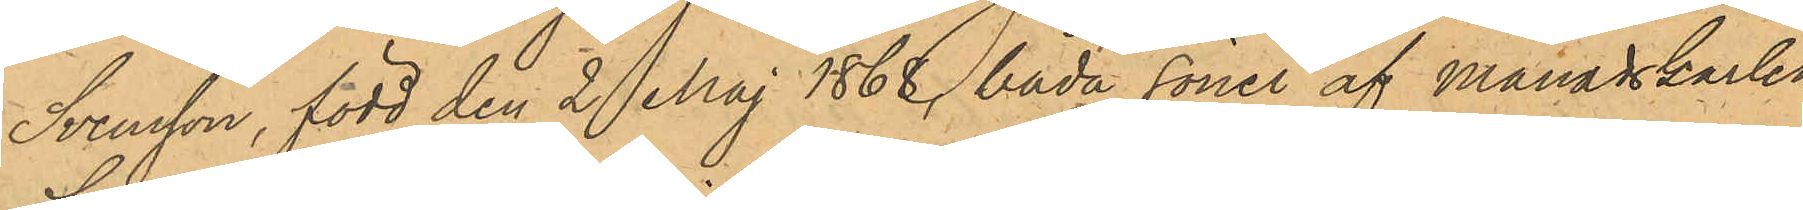Svensson, född den 2 Maj 1868, båda söner af Månadskarlen
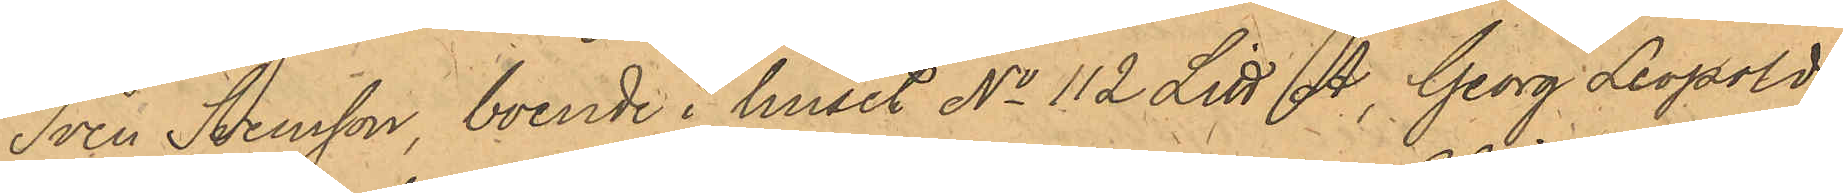Sven Svensson, boende i huset No 112 Litt A., Georg Leopold
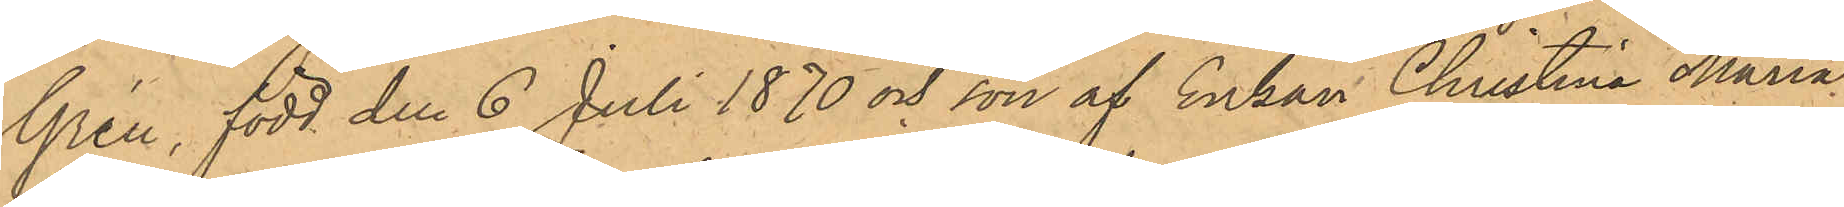Grén, född den 6 Juli 1870 och son af Enkan Christina Maria
